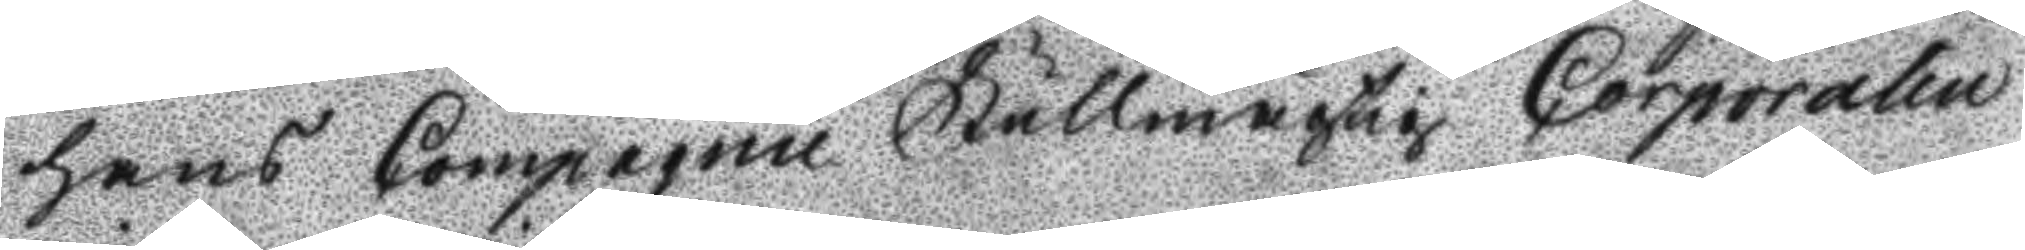hans Compagnie Fullmägtig Corporalen
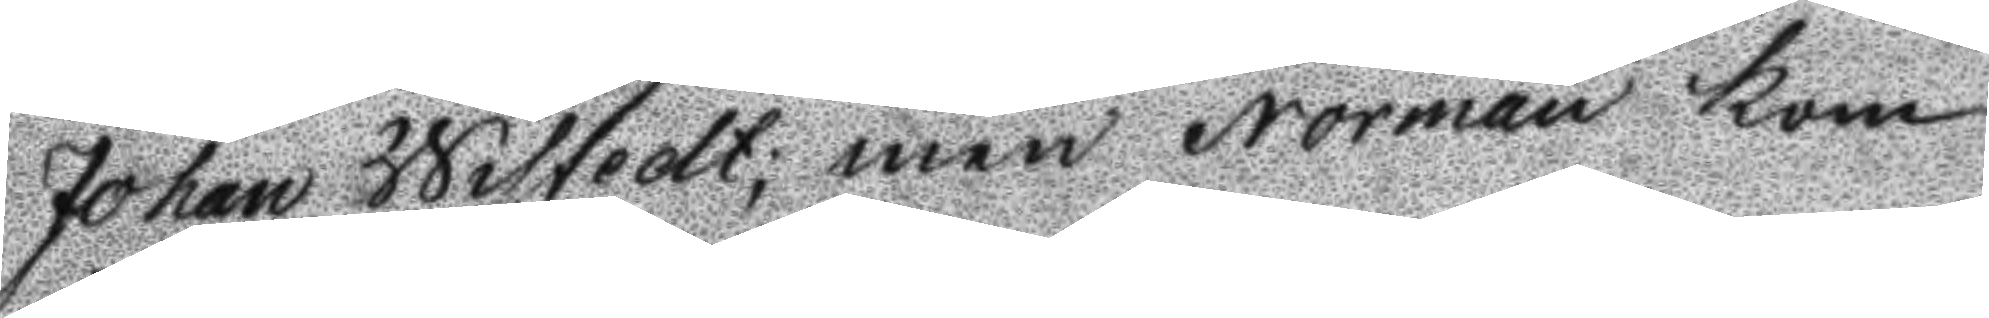Johan Wistedt; men Norman kom
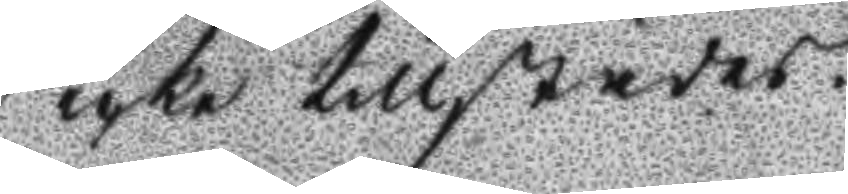icke tillstädes.
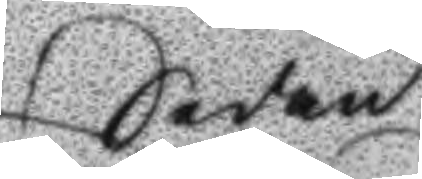Sedan
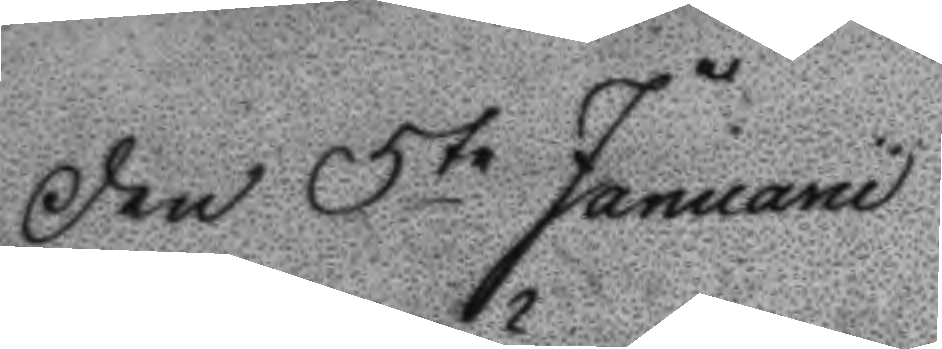Den 5te Januarii
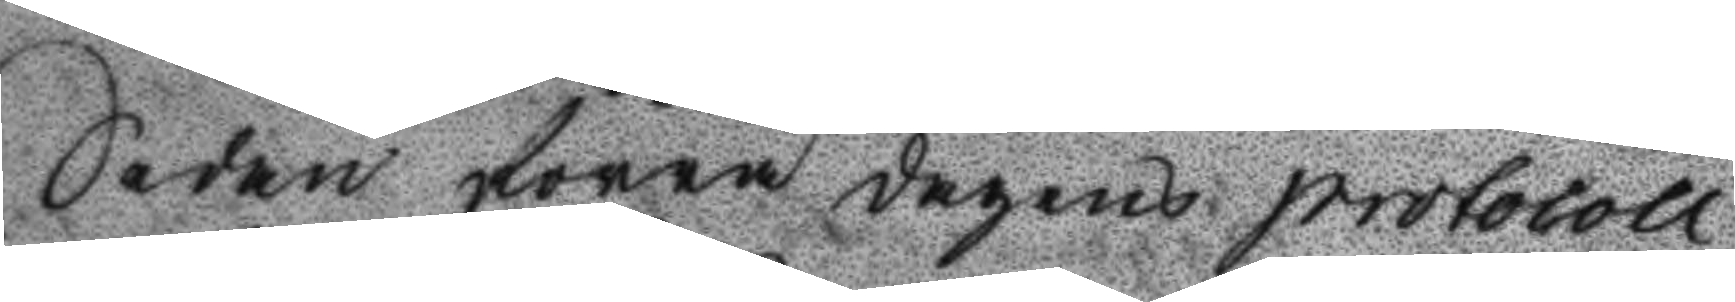Sedan förra dagens protocoll
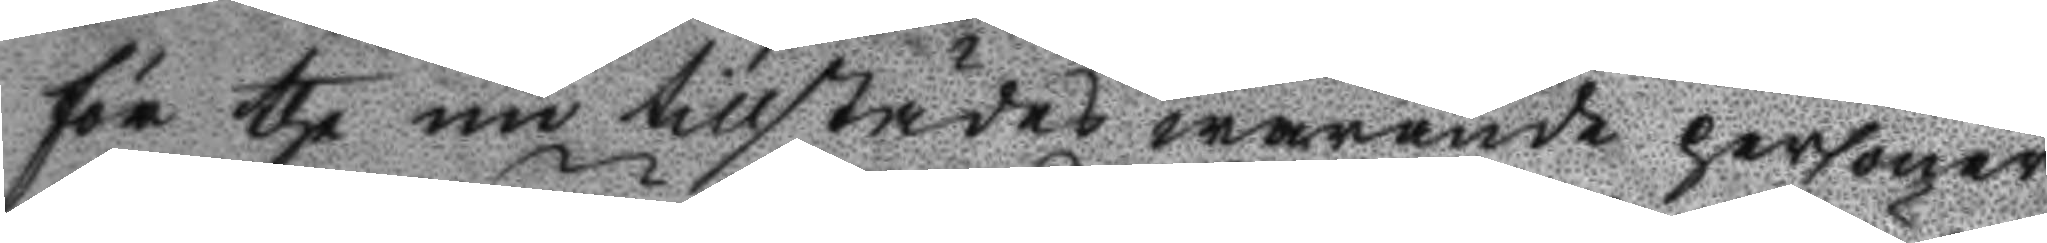för the nu tillstädes warande personer
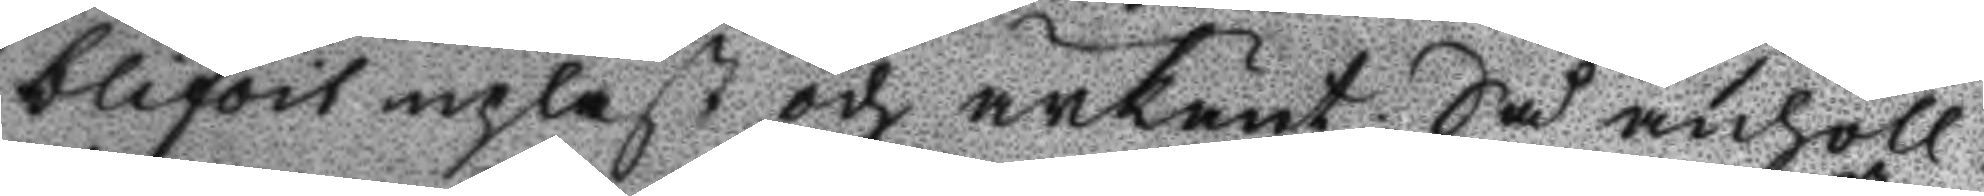blifwit upläst och ärkänt; Så anhöll
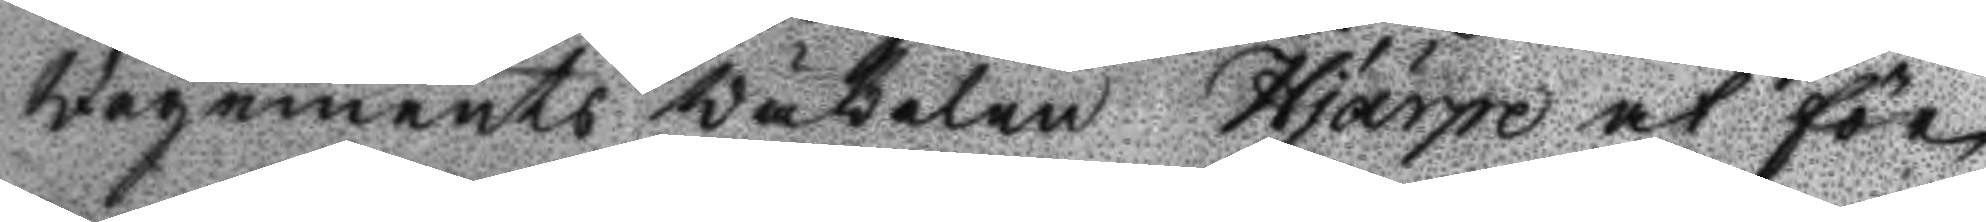Regements Väbelen Hjärpe at för
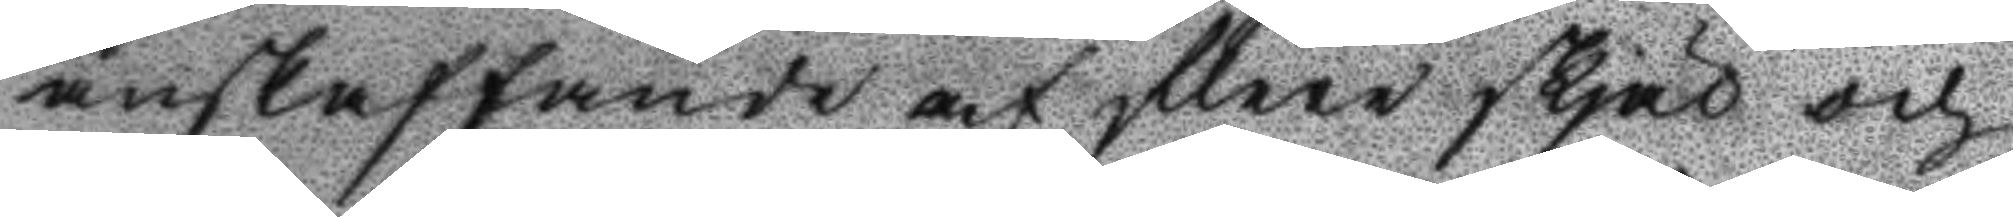anskaffande af flere skjäl och
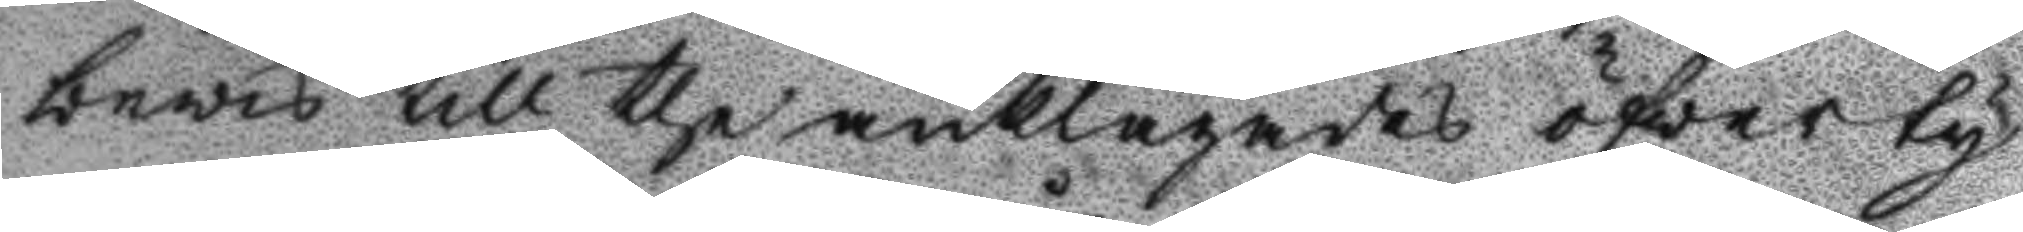bevis till the anklagades öfverty¬
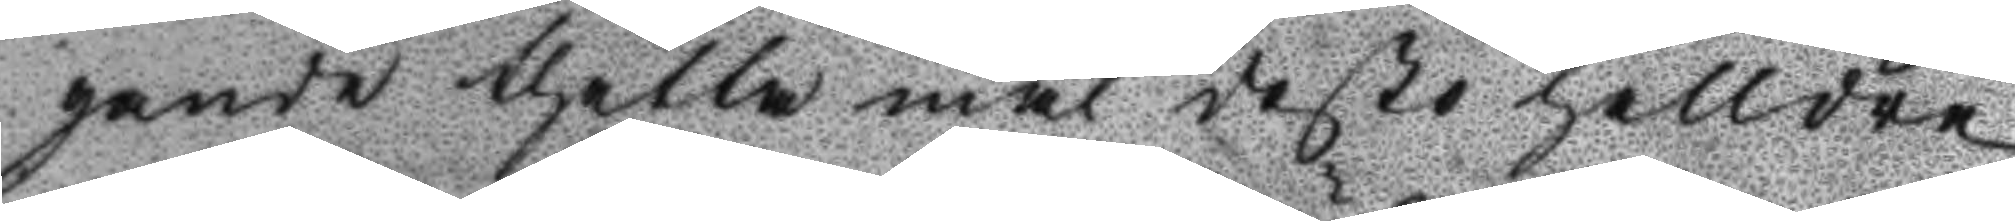gande thetta mål desto helldre
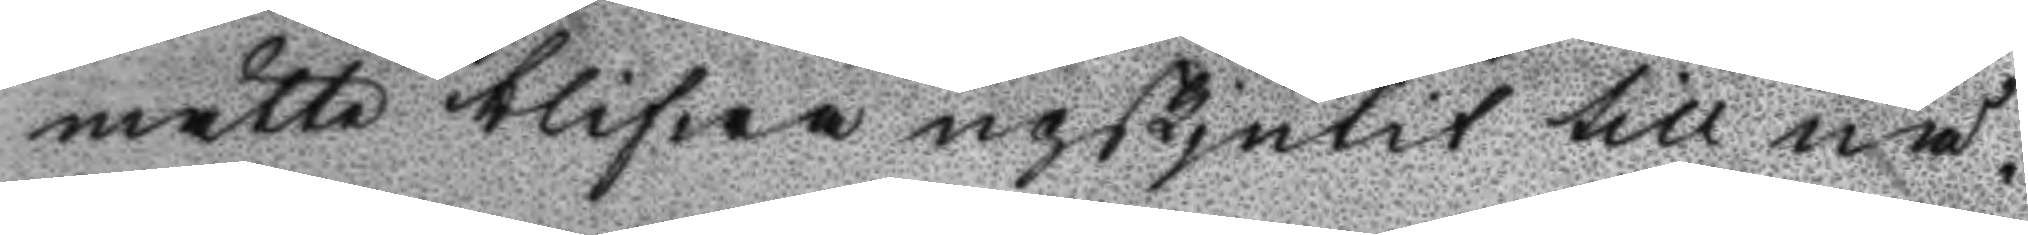måtte blifwa upskjutit till nå¬
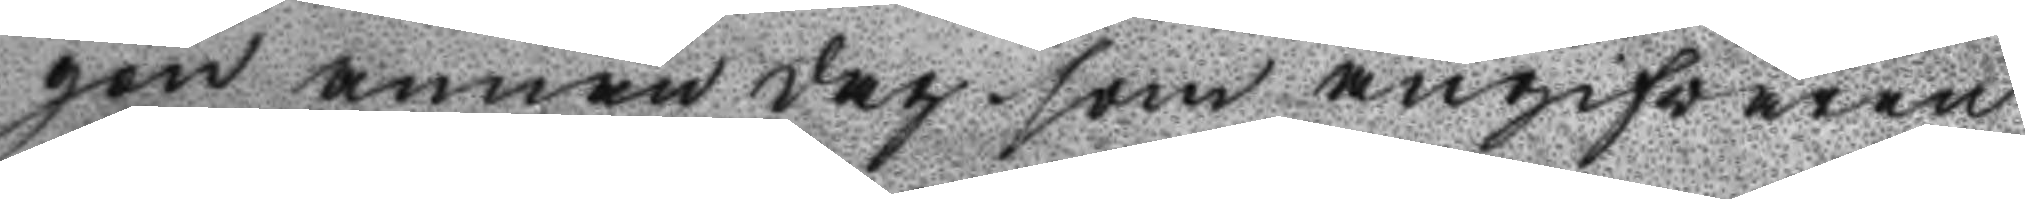gon annan dag som angifvaren
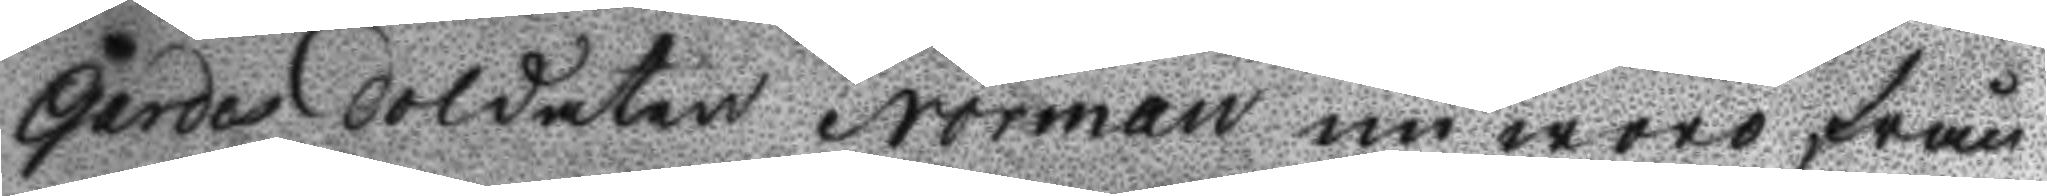Gardes Soldaten Norman nu woro från
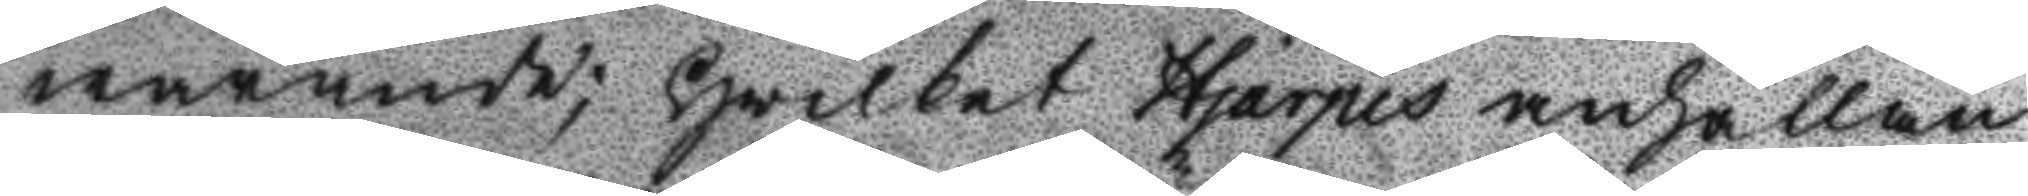warande; Hwilket Hjärnes anhållan
